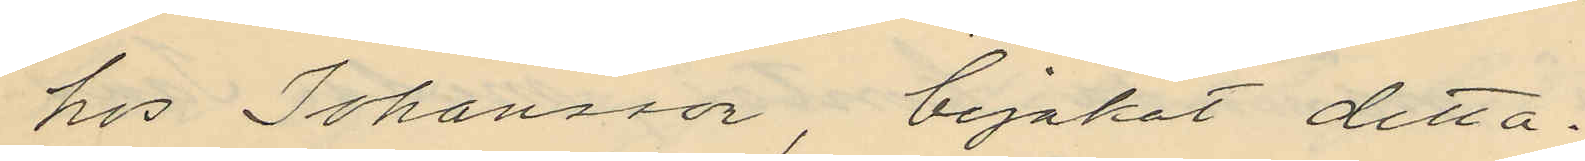hos Johansson, bejakat detta.
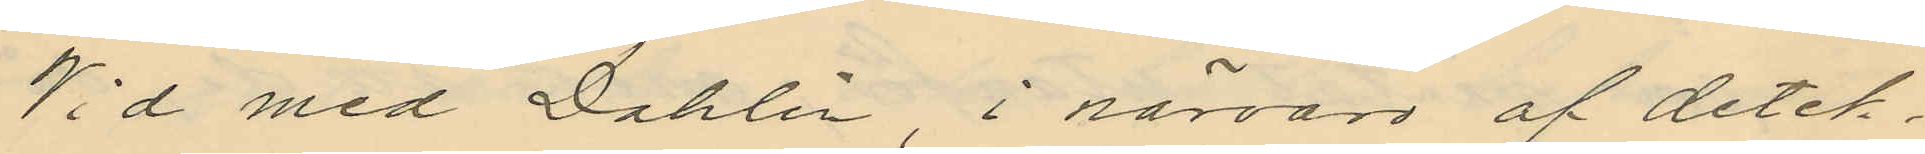Vid med Dahlin, i närvaro af detek¬
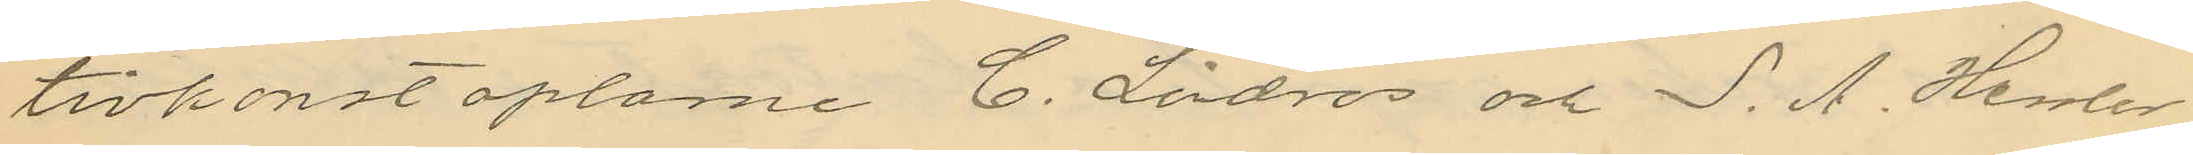tivkonstaplarne C. Lindros och S. A. Hessler,
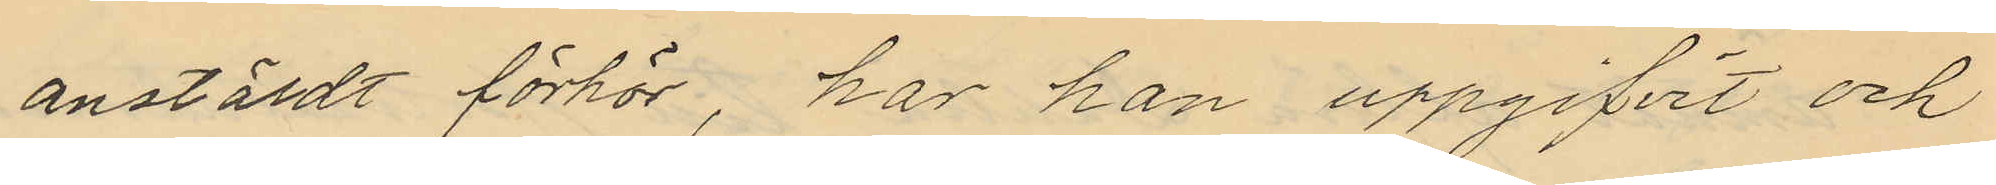anstäldt förhör, har han uppgifvit och
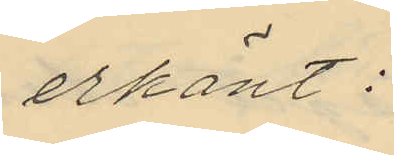erkänt:
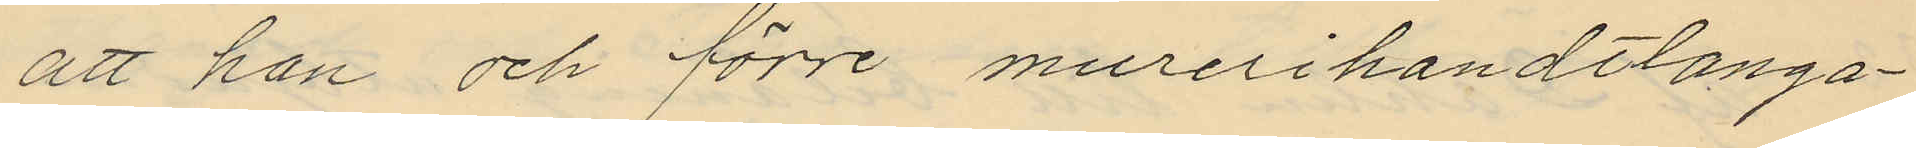att han och förre murerihandtlanga¬
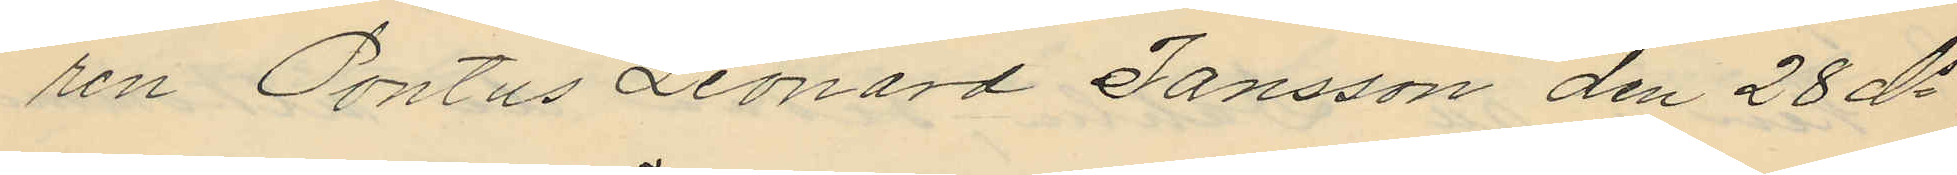ren Pontus Leonard Jansson den 28 ds
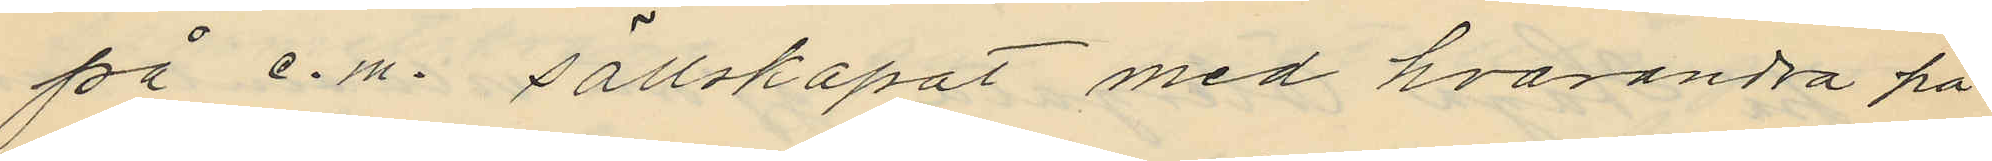på e.m. sällskapat med hvarandra på
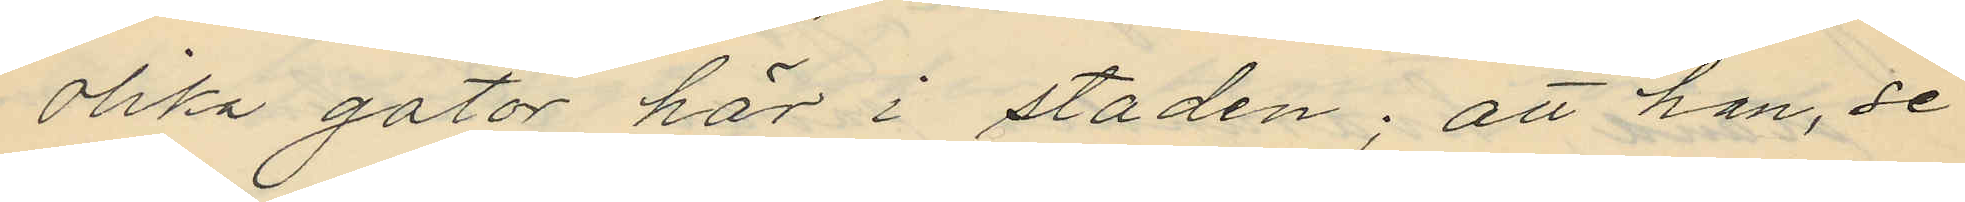olika gator här i staden; att han, se
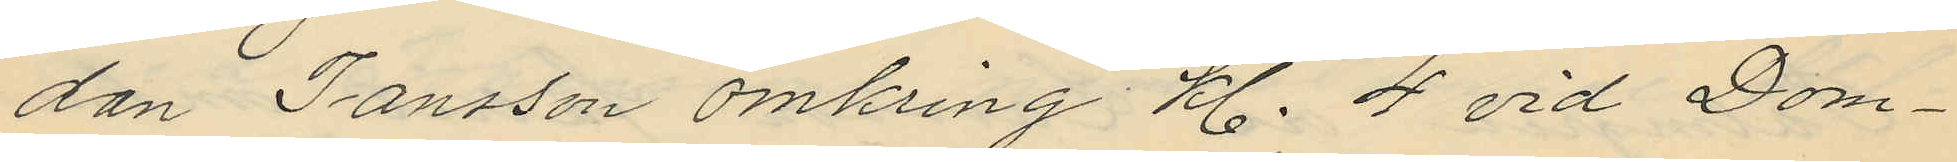dan Jansson omkring kl. 4 vid Dom¬
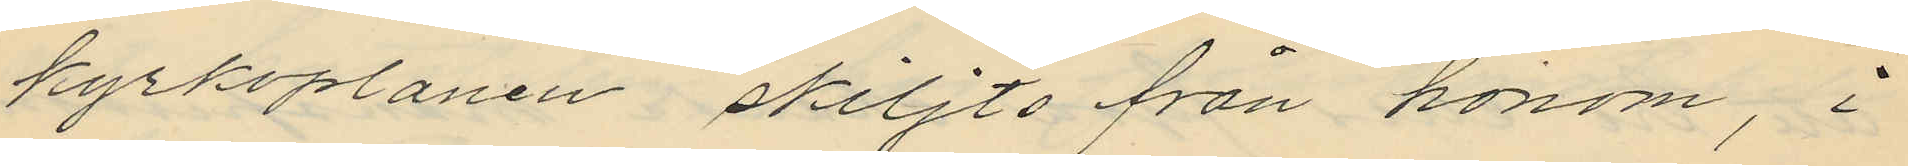kyrkoplanen skiljts från honom, i
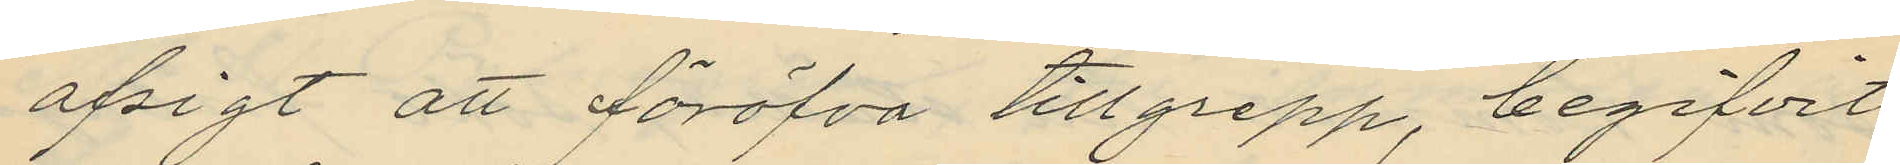afsigt att föröfva tillgrepp, begifvit
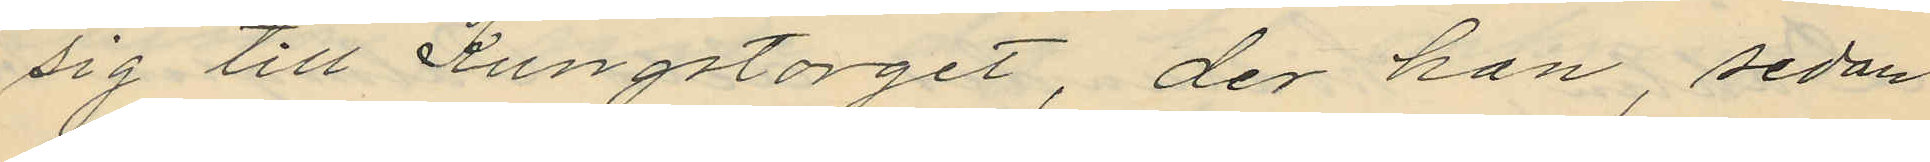sig till Kungstorget, der han, sedan
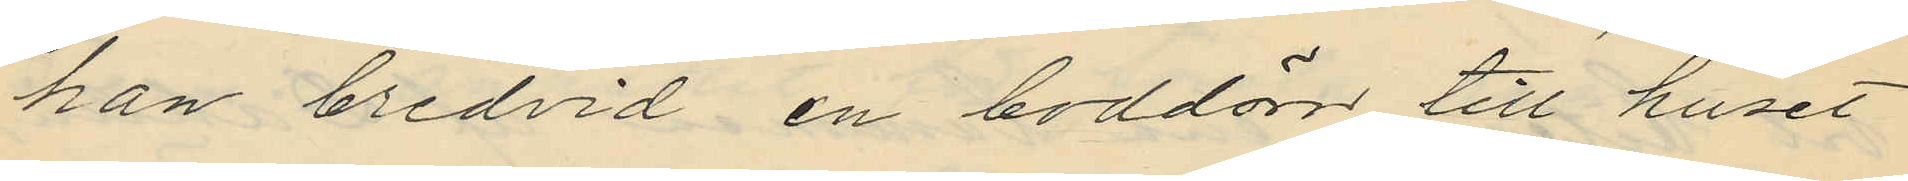han bredvid en boddörr till huset
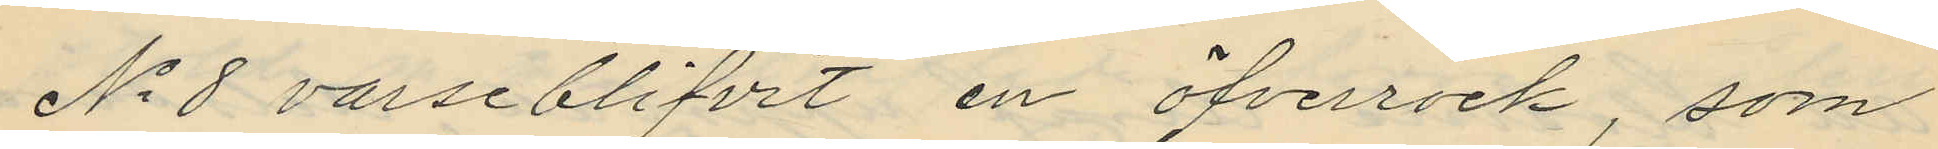No 8 varseblifvit en öfverrock, som
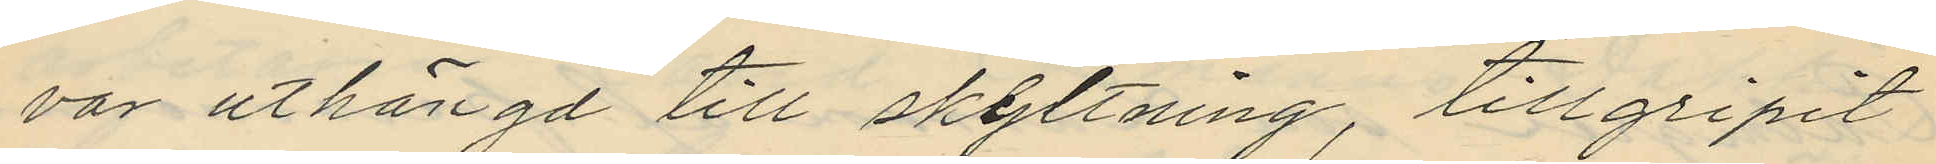var uthängd till skyltning, tillgripit
